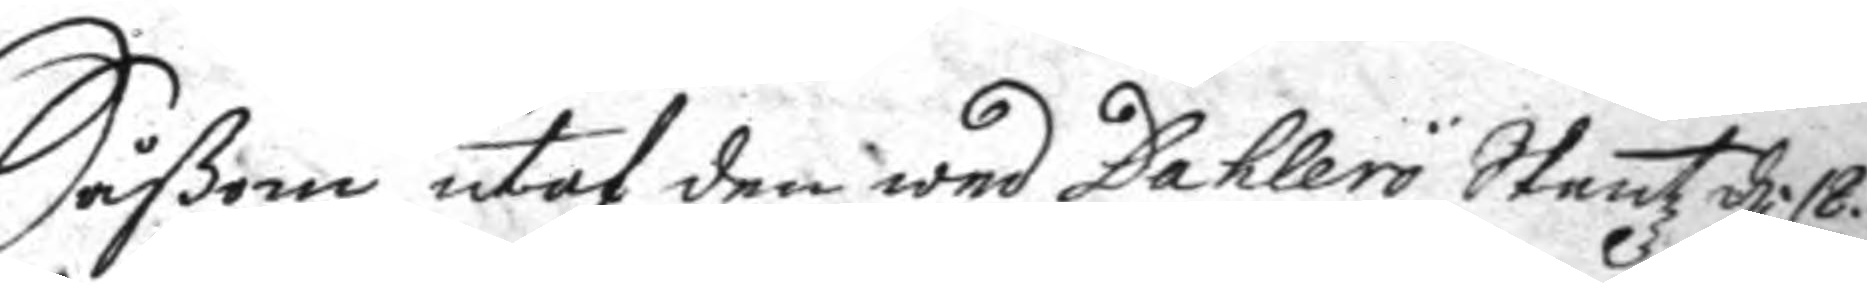Såßom utaf den wed Dahlerö Skantz d. 18.
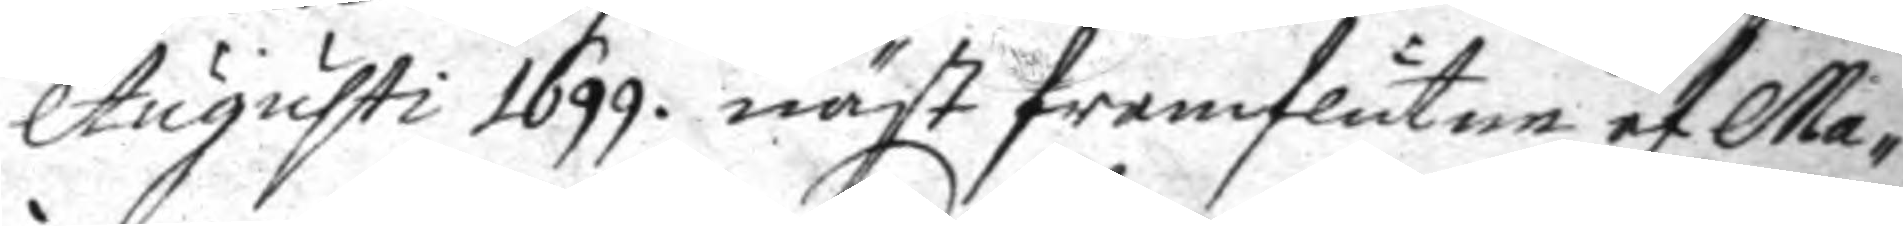Augusti 1699. näst framflutne af Ma¬
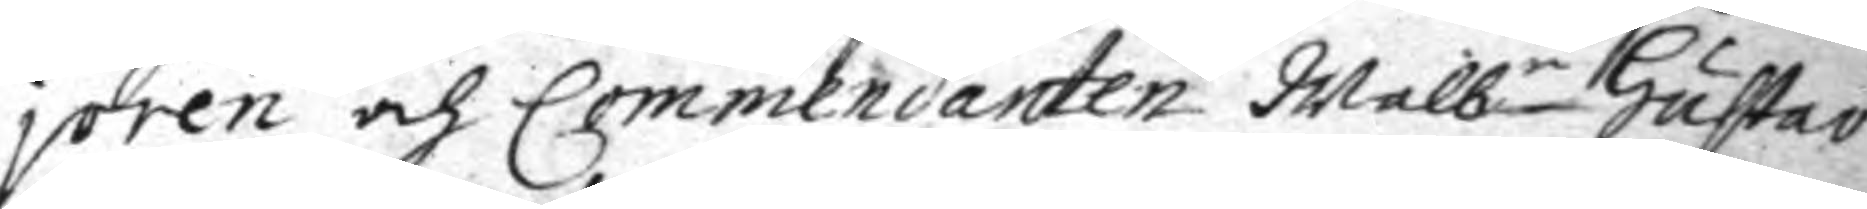joren och Commendanten Welb:e Gustav
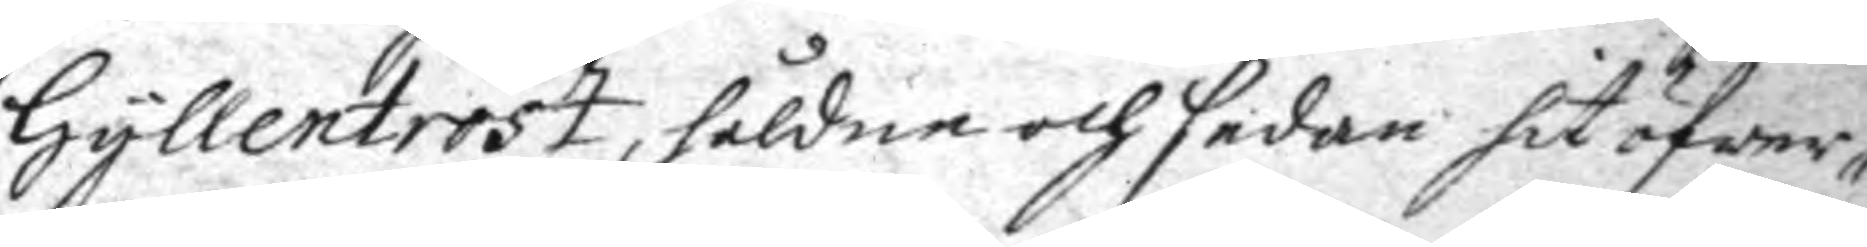Gyllentrast, håldne och sedan hit öfwer¬
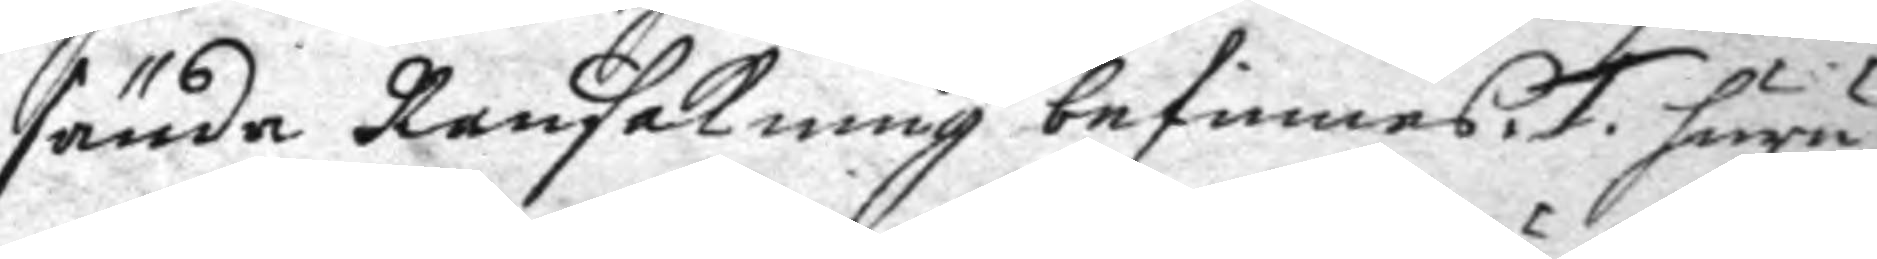sända Ransakning befinnes. 1. huru
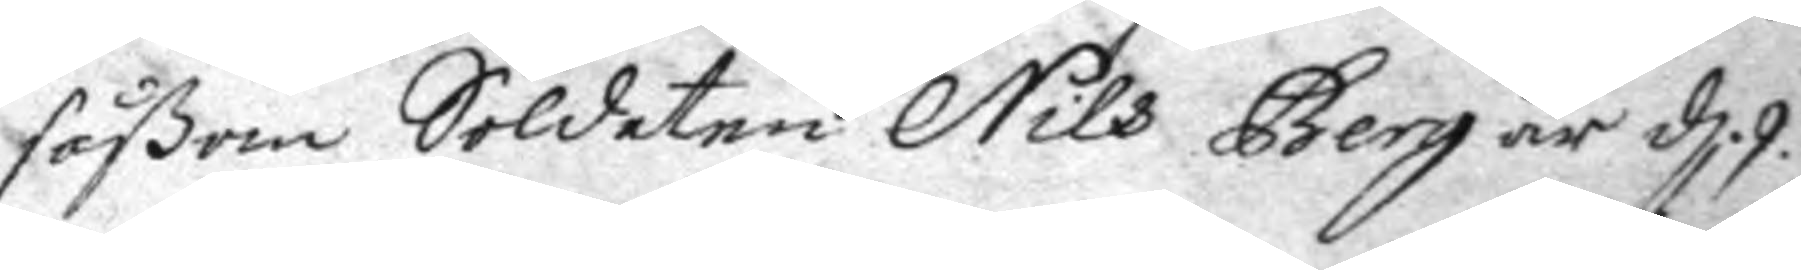såßom Soldaten Nils Berg är d. 9.
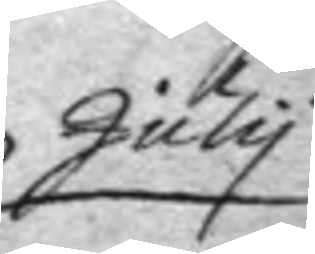July
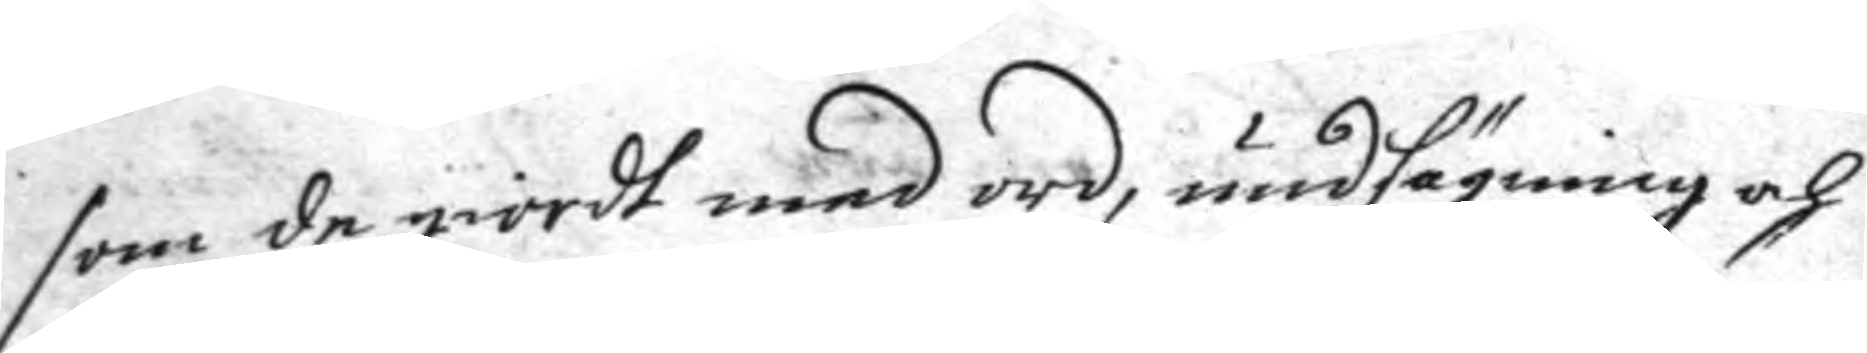som de giordt med ord, undsägning och
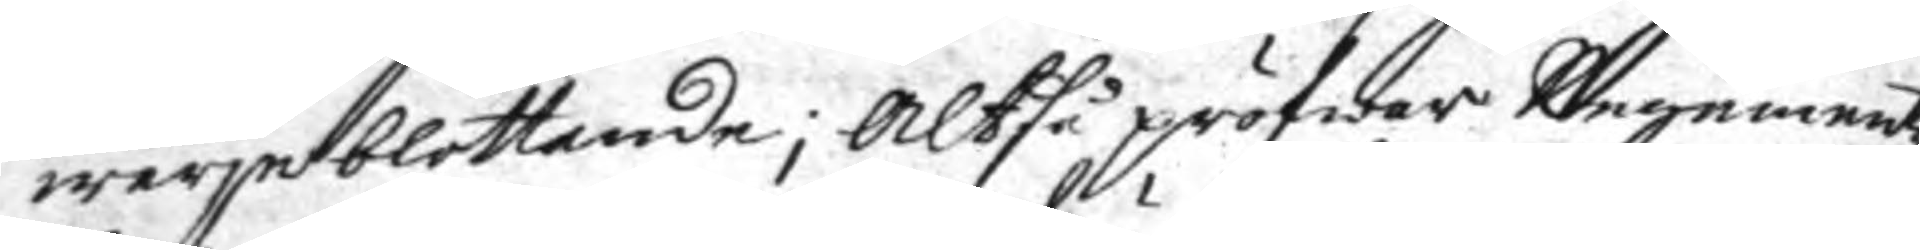wärje blottande; Altså pröfwar Regemnetz
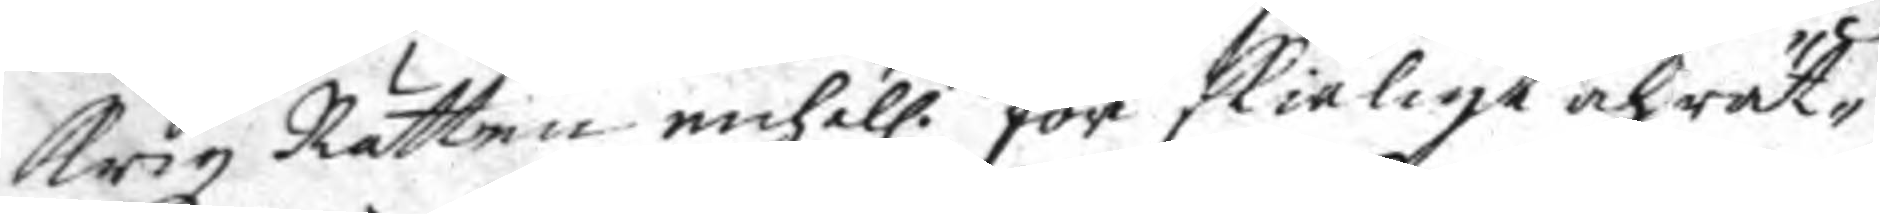Krigz Rätten enhäll.n för skäligt och rät¬
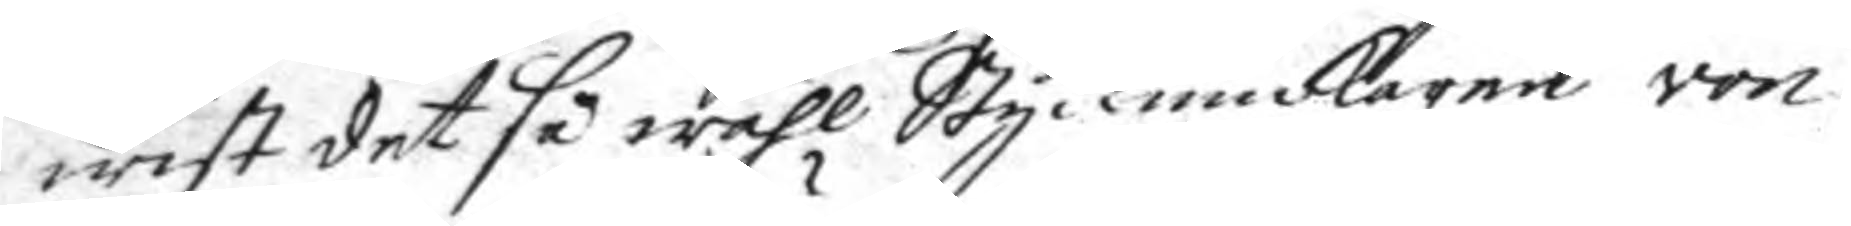wist det så wähl Styckiunckaren von
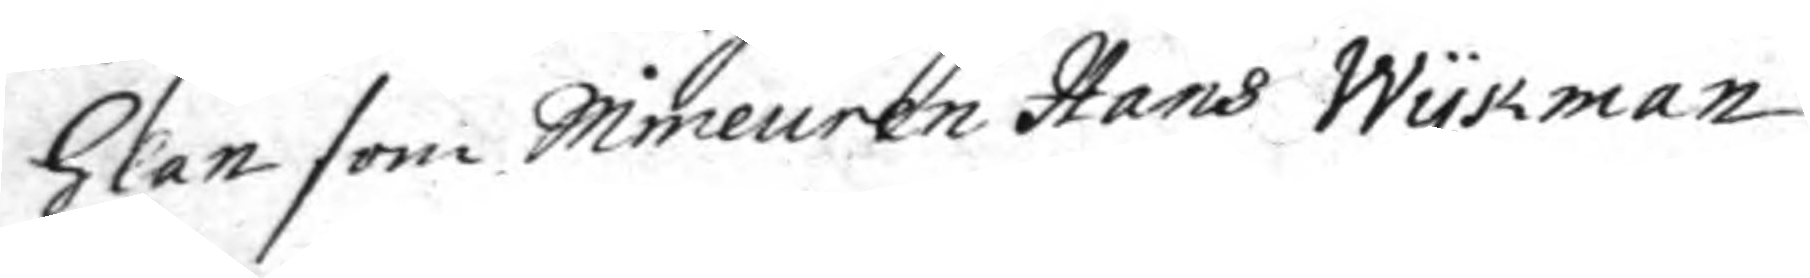Glan som Mineuren Hans Wykman
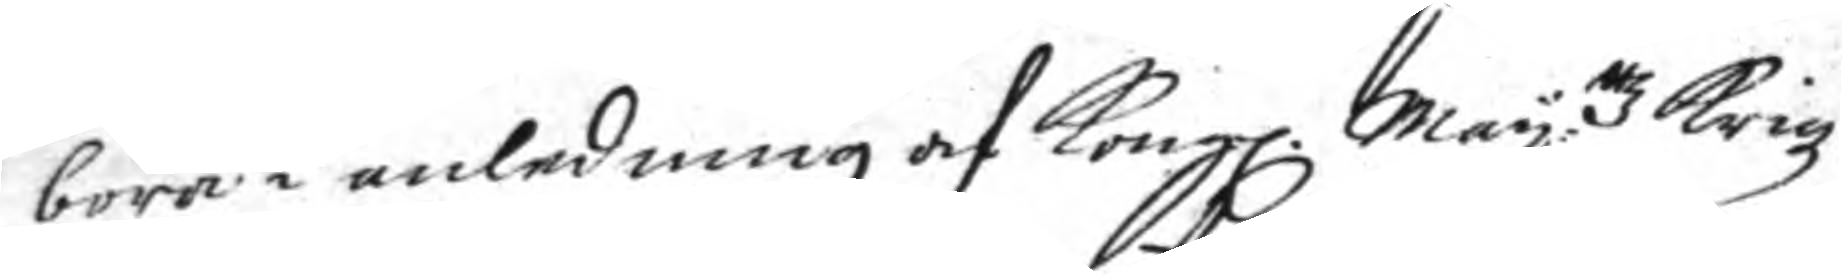böra i anledning af Kongl. May:ttz Krigz
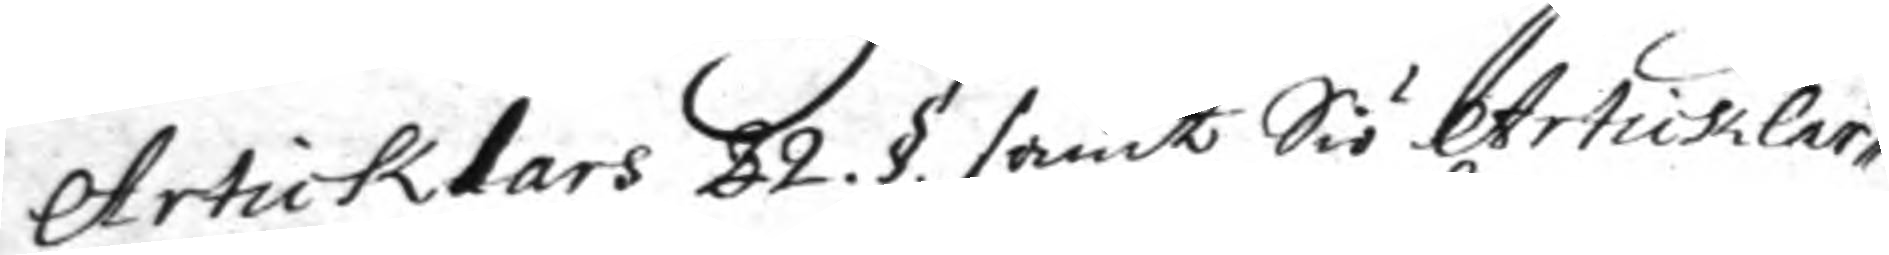Artiklars 22. §. samt Siö Artiklar¬
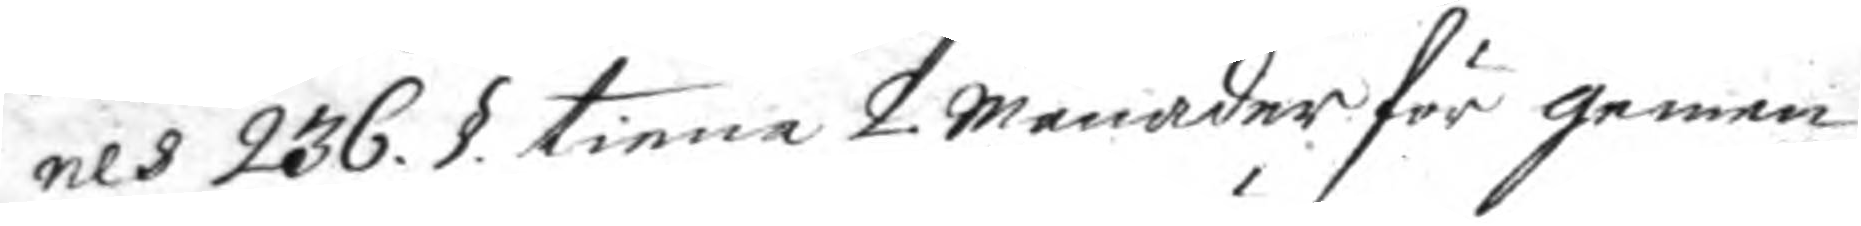nes 236. §. tiena 2 månader för gemen
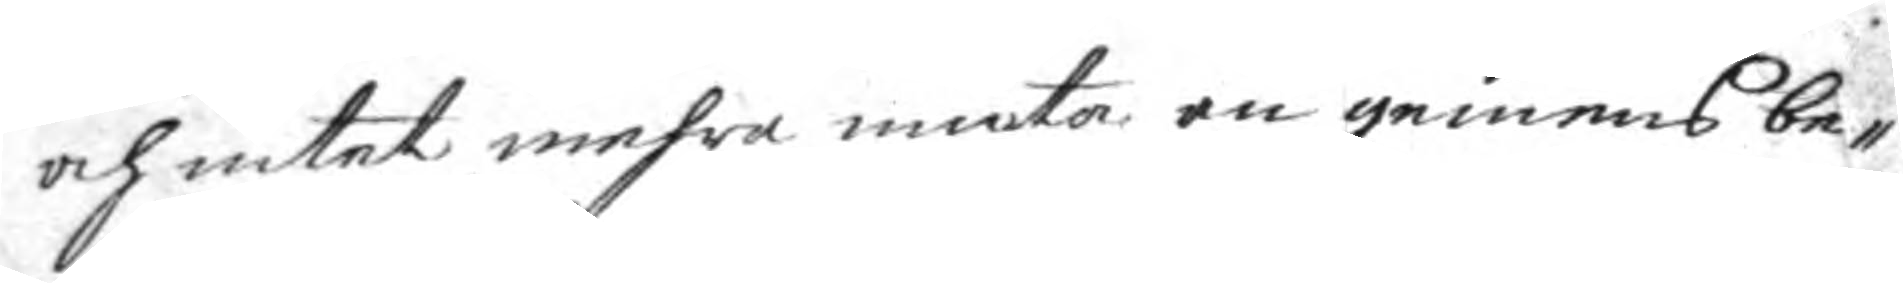och intet mehra niuta än gemens be¬
